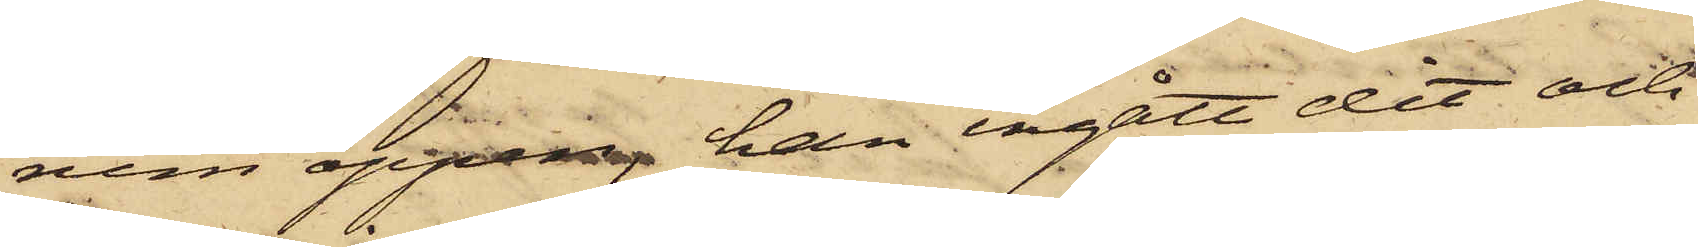rum öppen, han ingått dit och
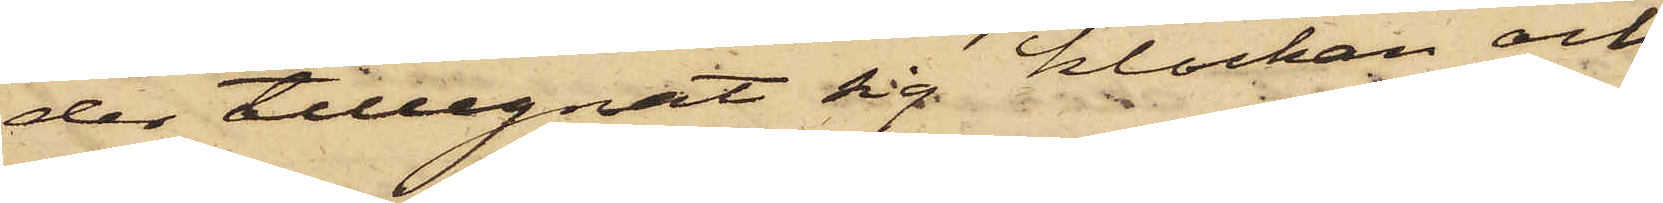der tillegnat sig klockan och
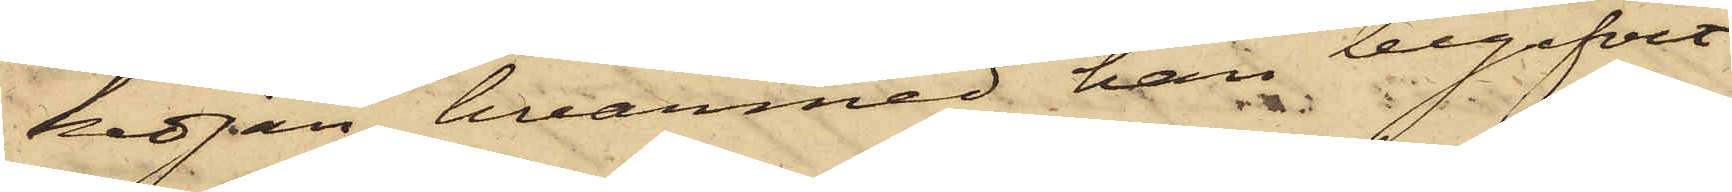kedjan, hvarmed han begifvit
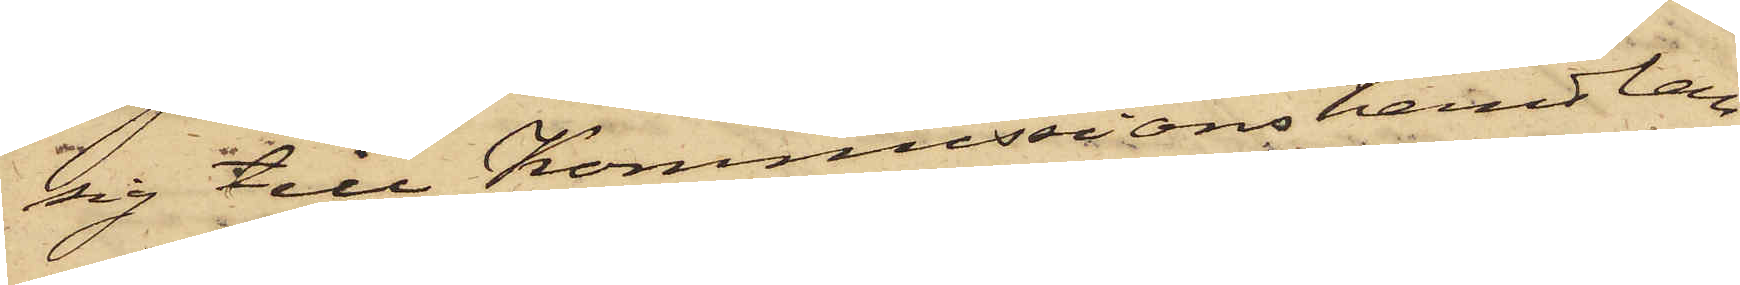sig till Kommissionshandlan¬
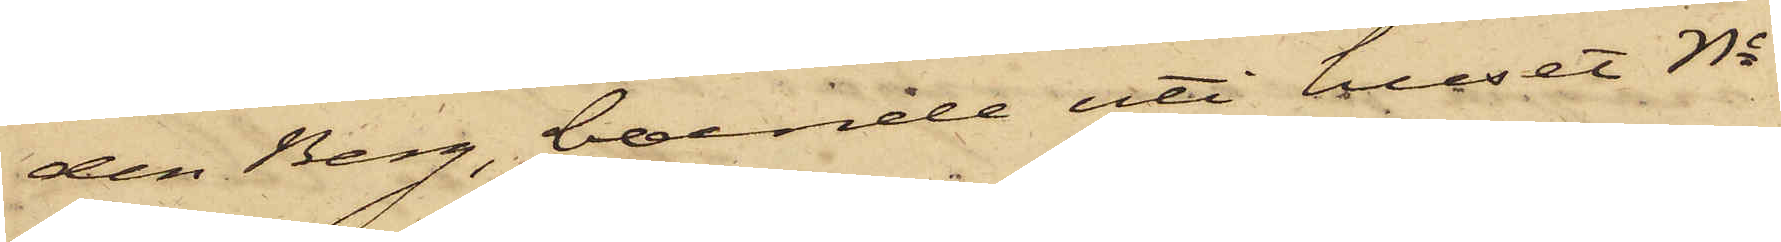den Berg, boende uti huset No
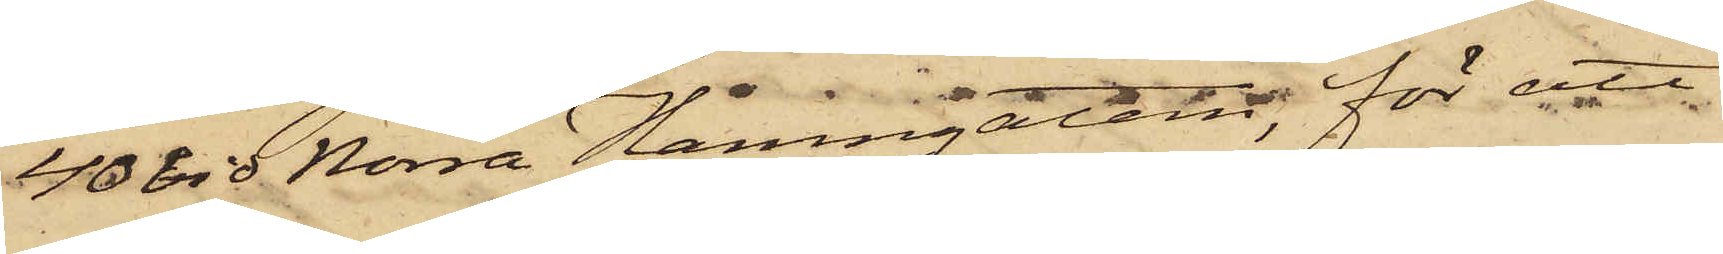40 vid Norra Hamngatan, för att
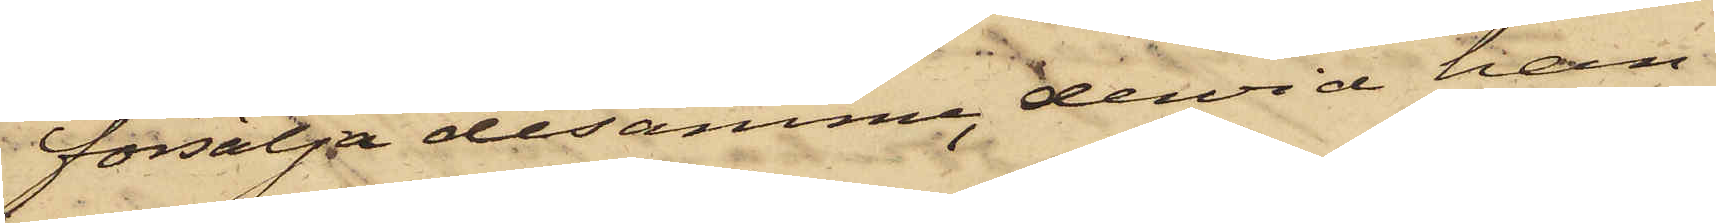försälja desamma, dervid han
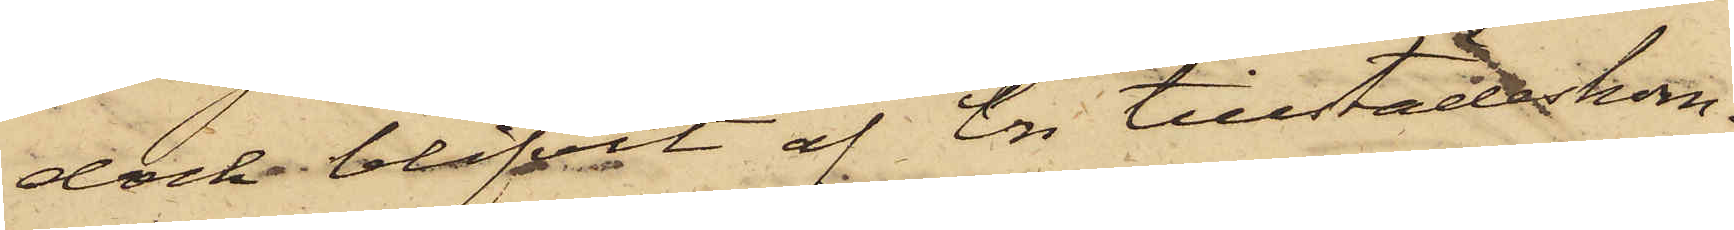dock blifvit af en tillstädeskom¬
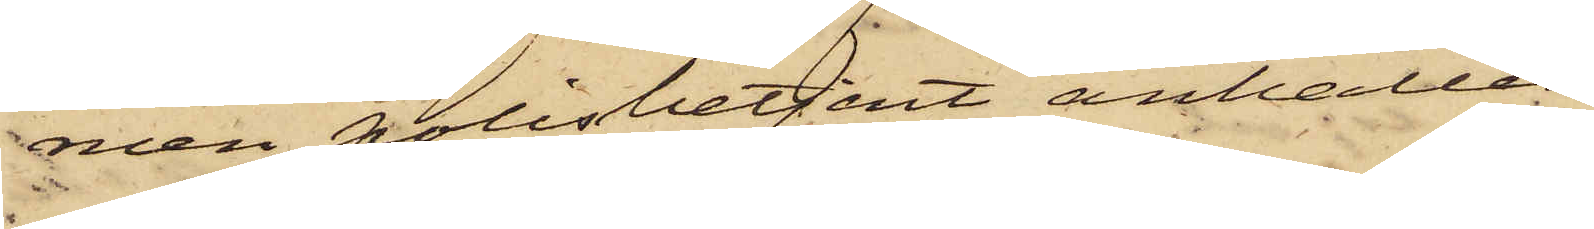men polisbetjent anhållen.
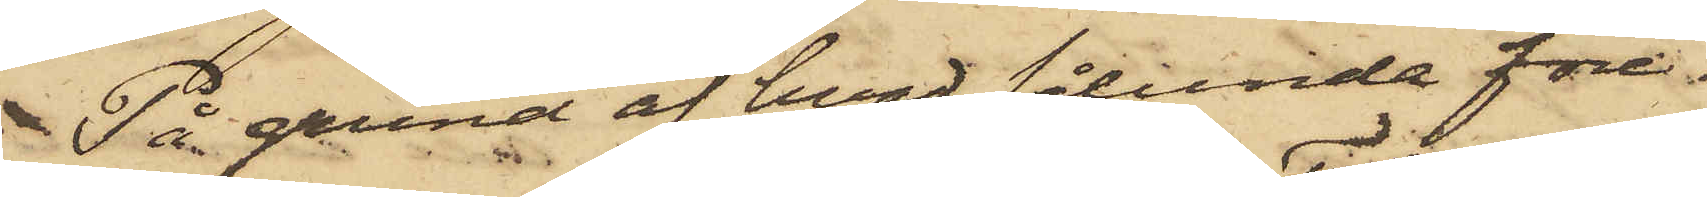På grund af hvad sålunda före¬
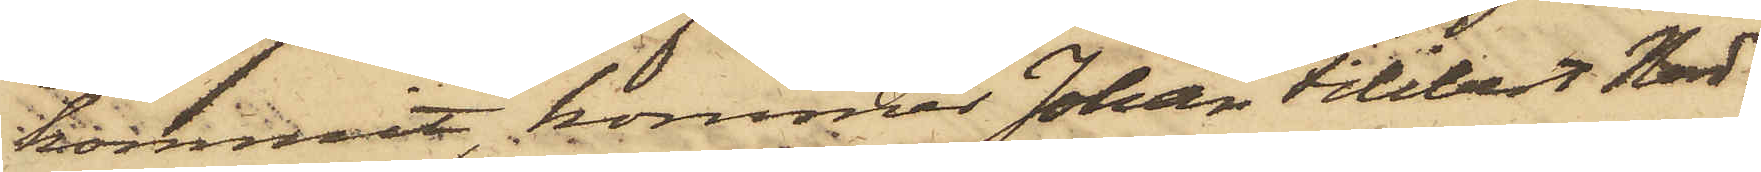kommit, kommer Johan Filibert Nord¬
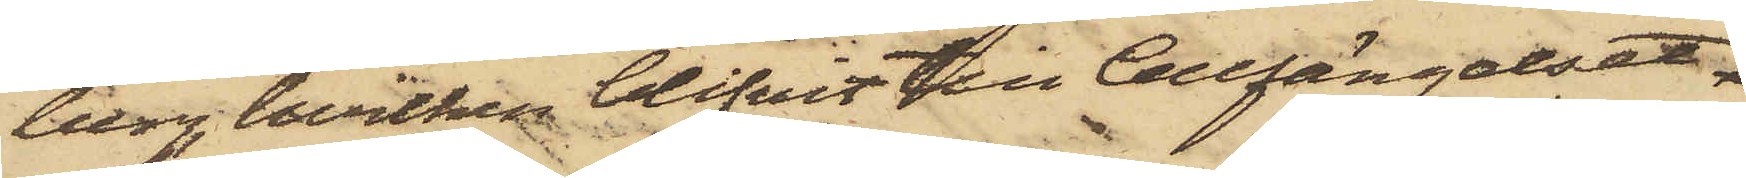berg, hvilken blifvit till Cellfängelset
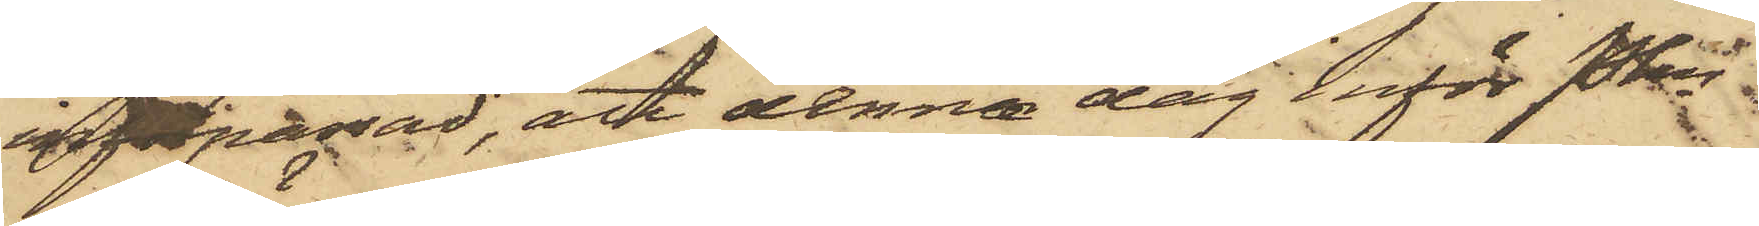införpassad, att denna dag inför Pkn
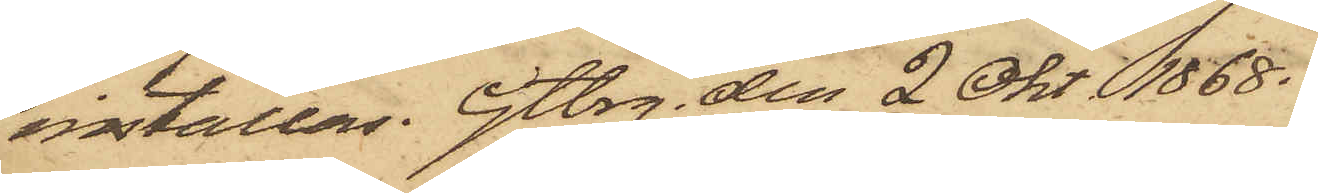inställas. Gtbrg. den 2 Okt 1868.
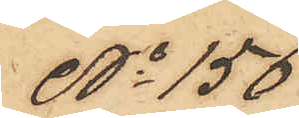No 156
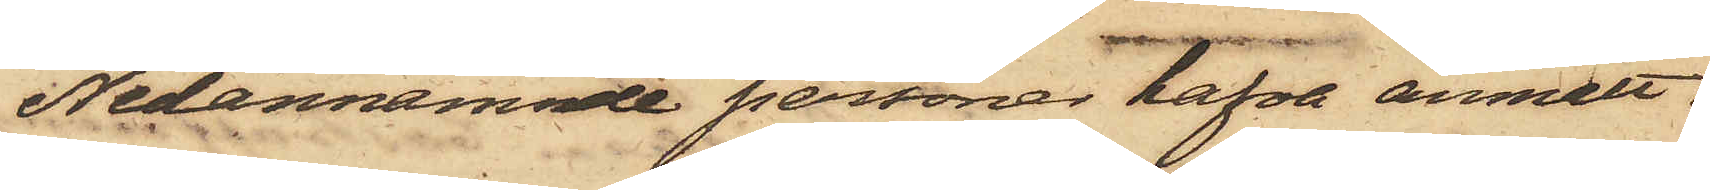Nedannämnde personer hafva anmält:
